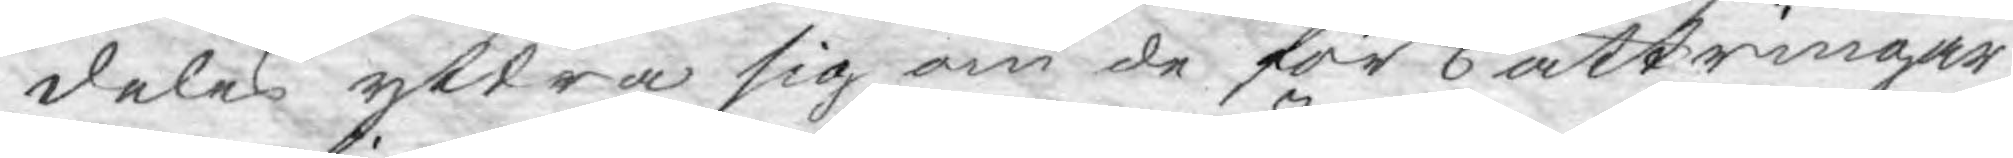deles yttra sig om de förbättringar,
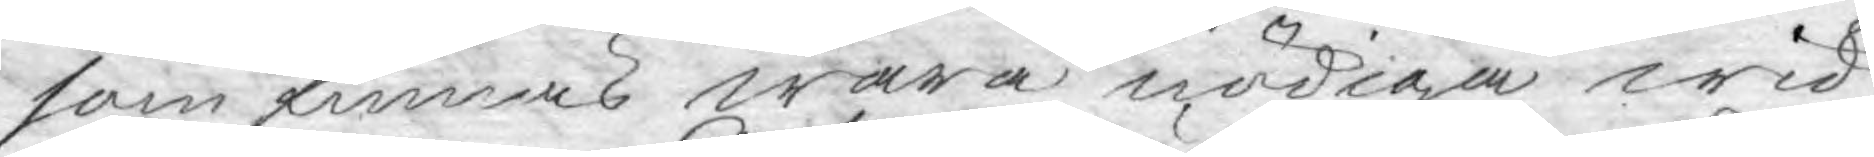som finnas wara nödiga wid
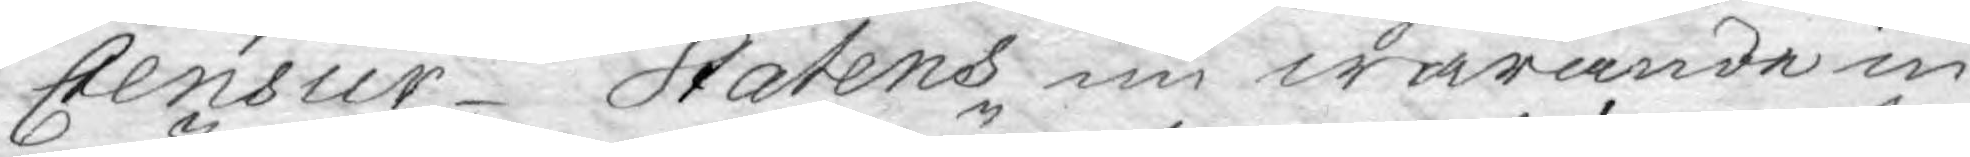Censur Statens nu warande in
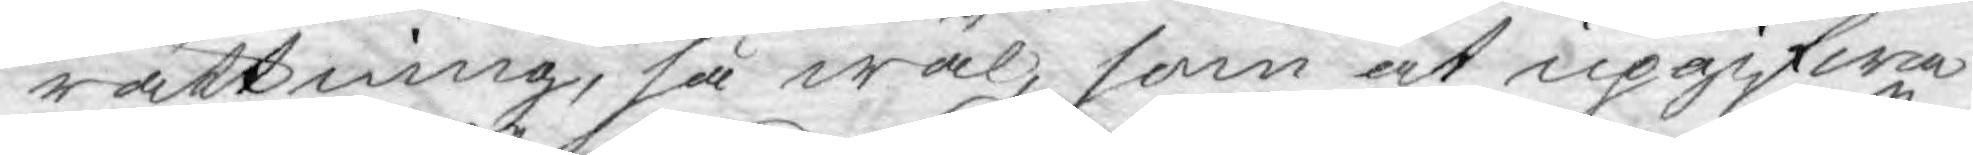rättning, så wäl, som at upgifwa
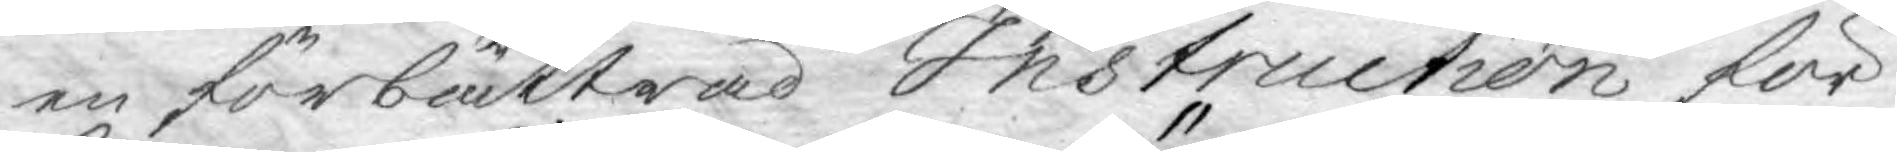en förbättrad Instruction för
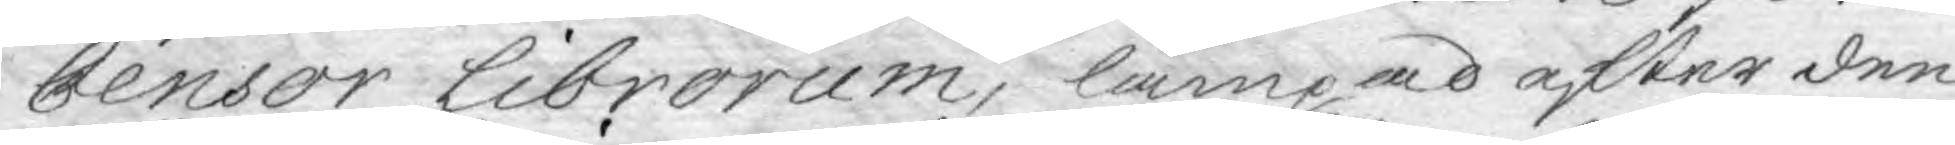Censor Librorum, lämpad efter den
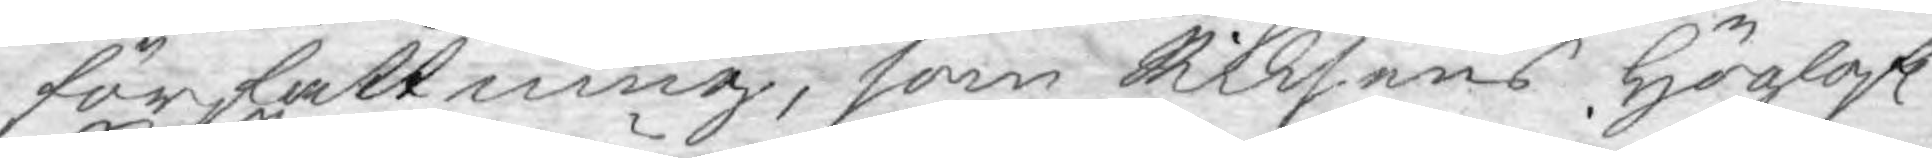författning, som Riksens Höglofl.
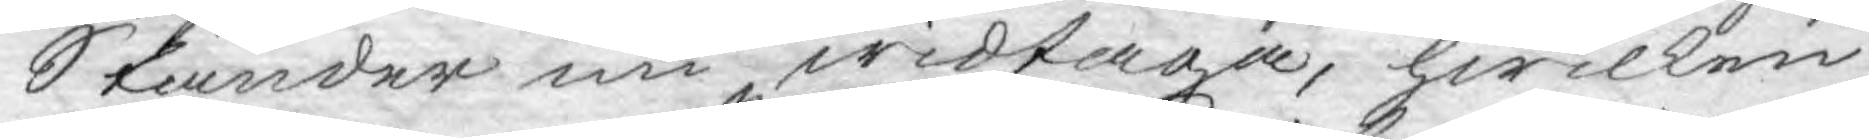Ständer nu widtaga, hwilken
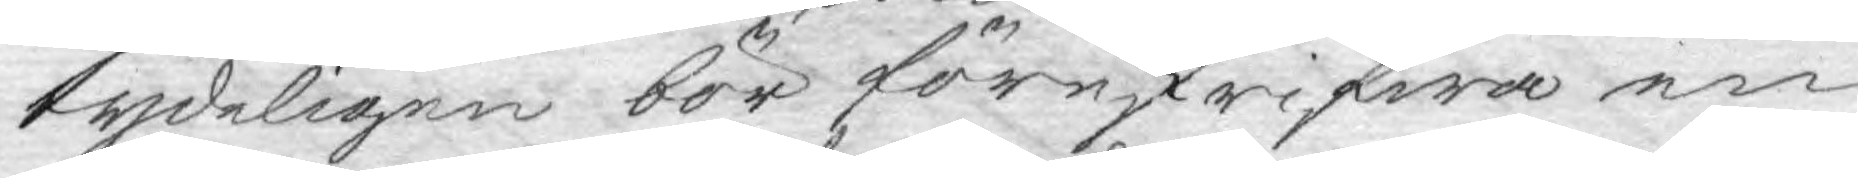tydeligen bör föreskrifwa en
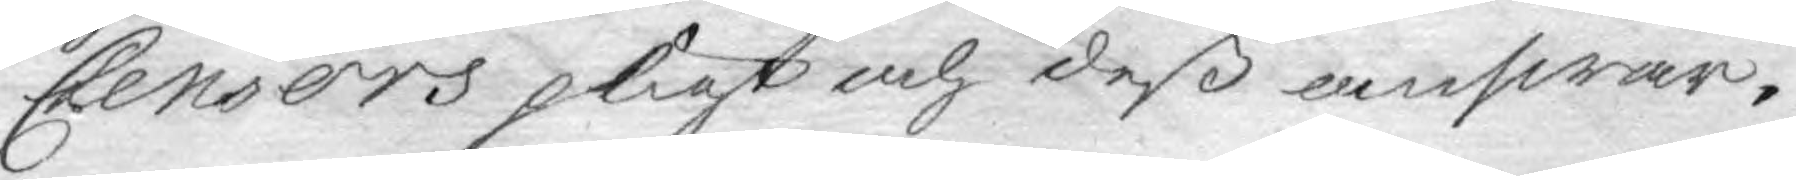Censors pligt och deß answar,
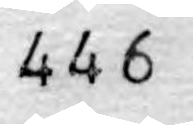446
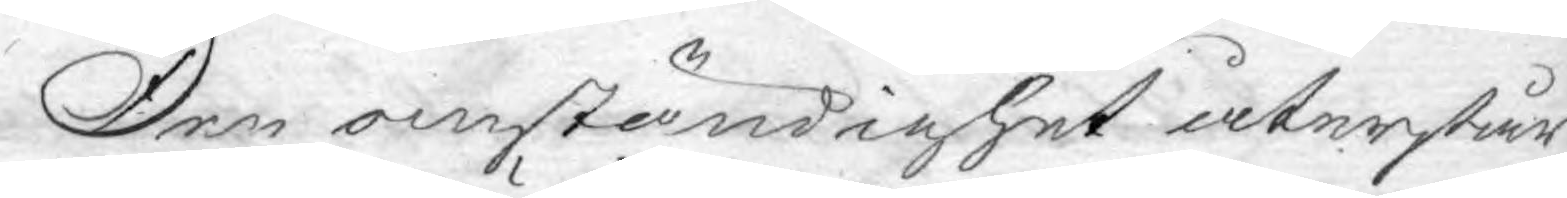Den omständighet återstår
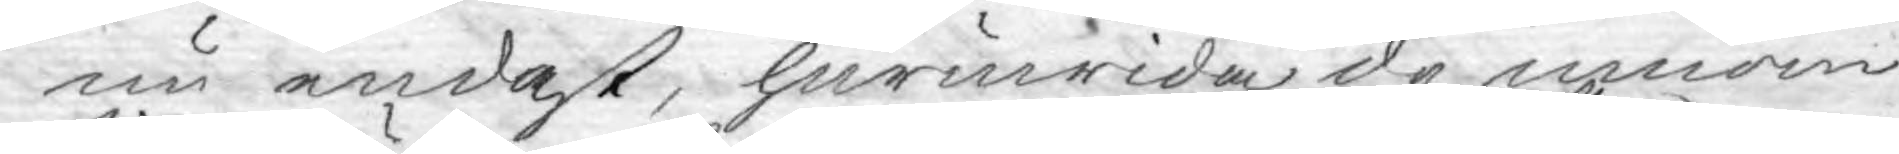nu endast, huruwida de innom
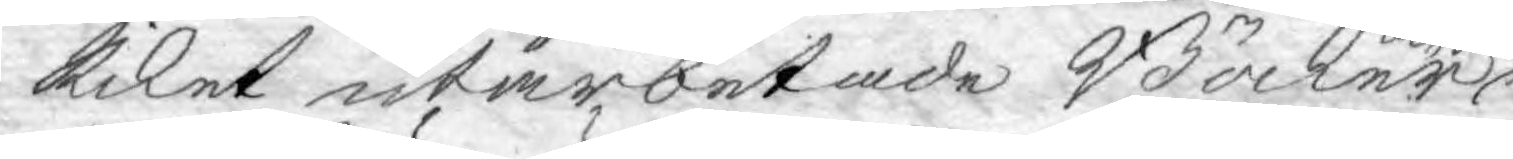Riket utarbetade Böcker 
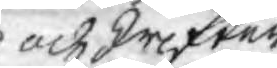och skrifter
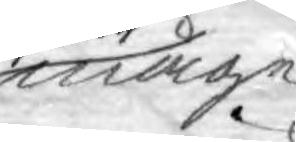måge
